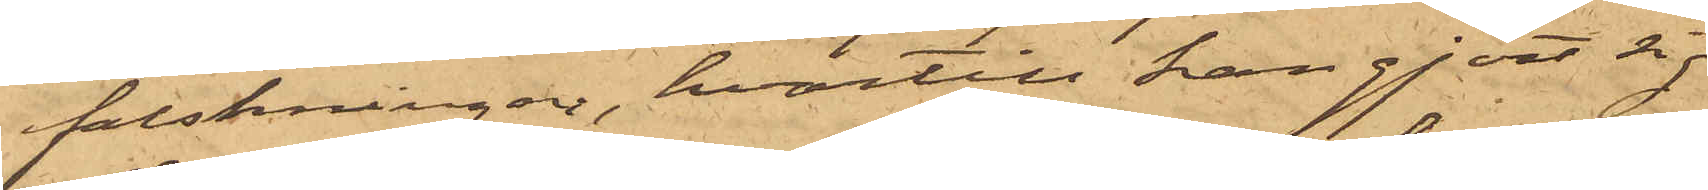falskningar, hvartill han gjort sig
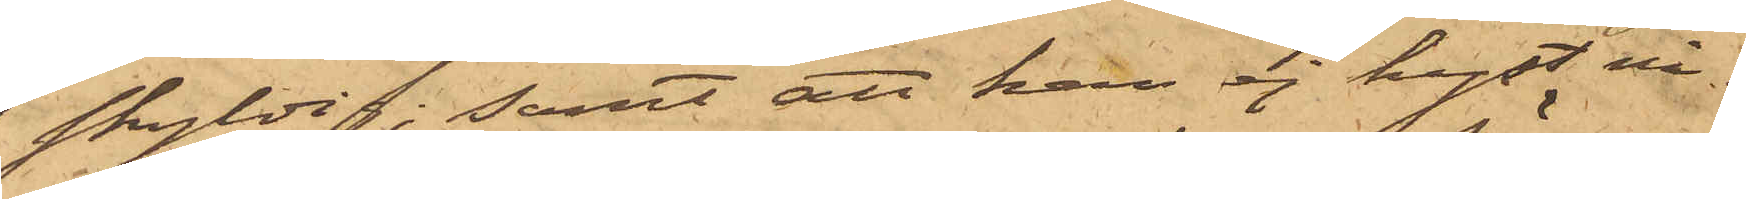skyldig; samt att han ej hyst nå¬
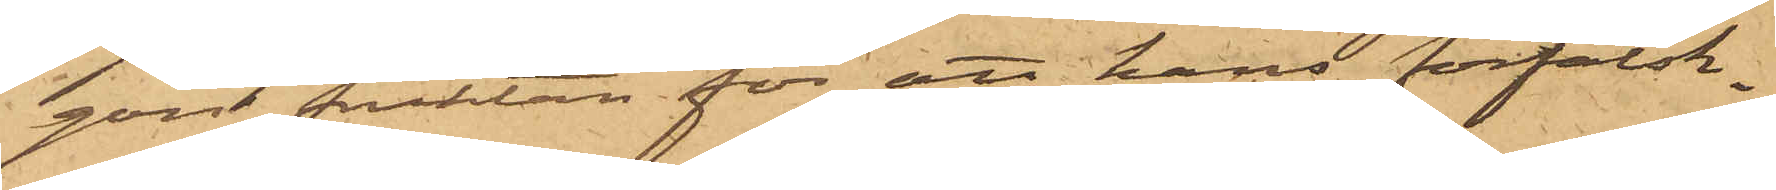gon fruktan för att hans förfalsk¬
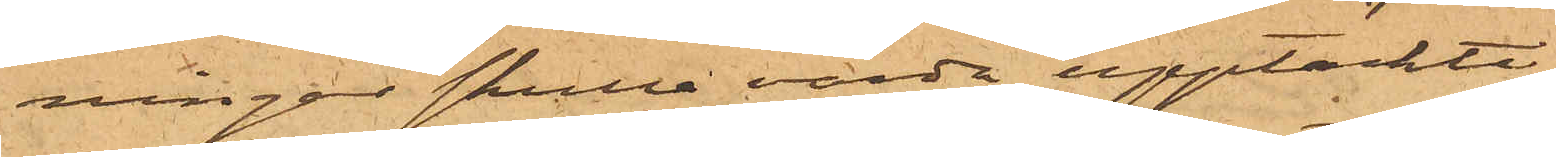ningar skulle varda upptäckte,
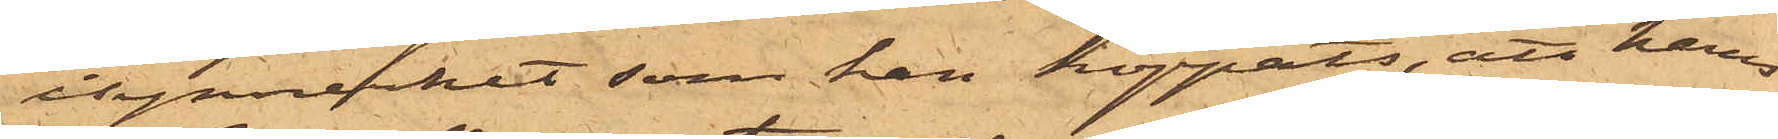isynnerhet som han hoppats, att hans
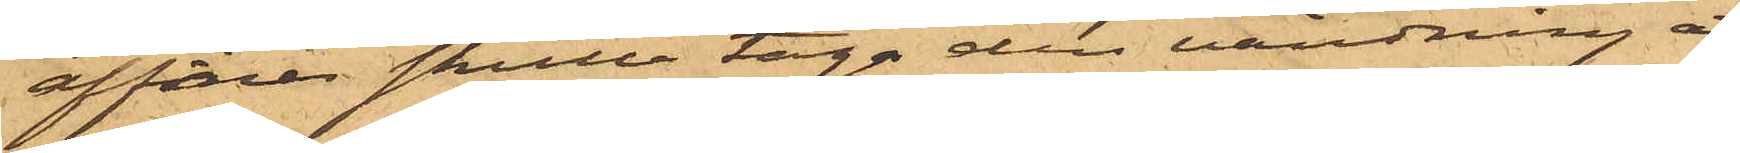affärer skulle taga den vändning att
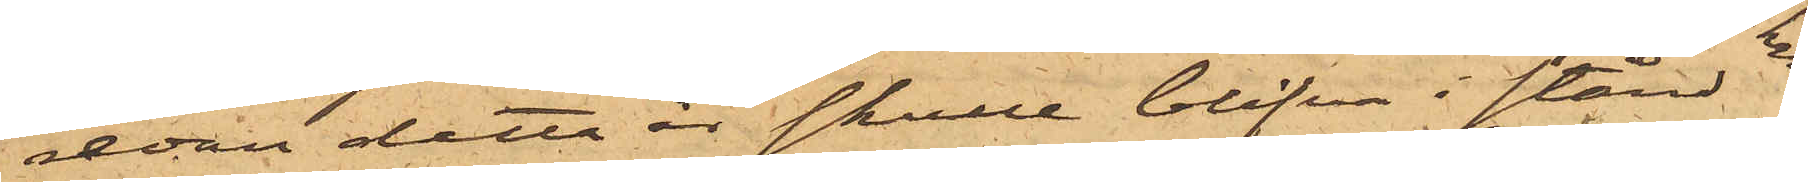redan detta år skulle blifva  i stånd
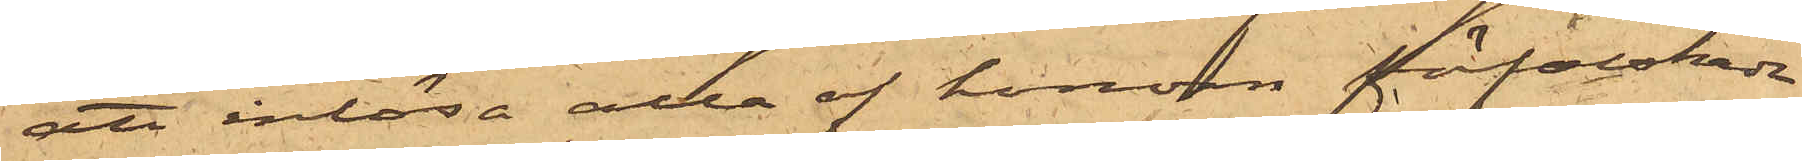att inlösa alla af honom fåfalskade
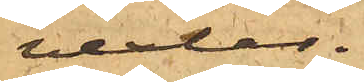vexlar.
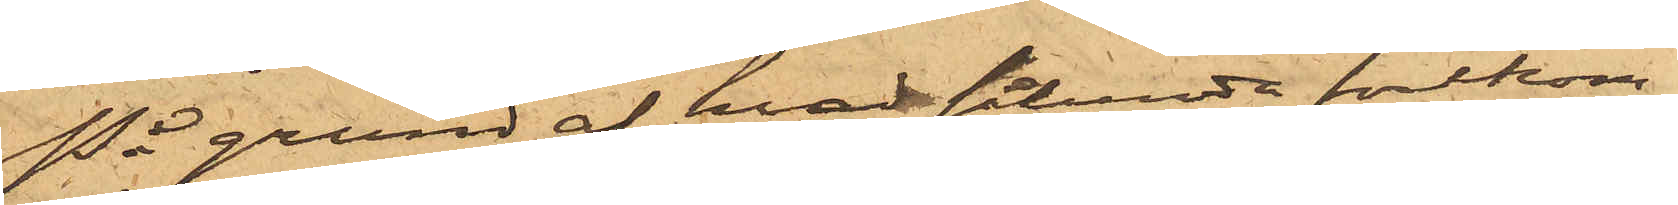På grund af hvad sålunda förekom¬
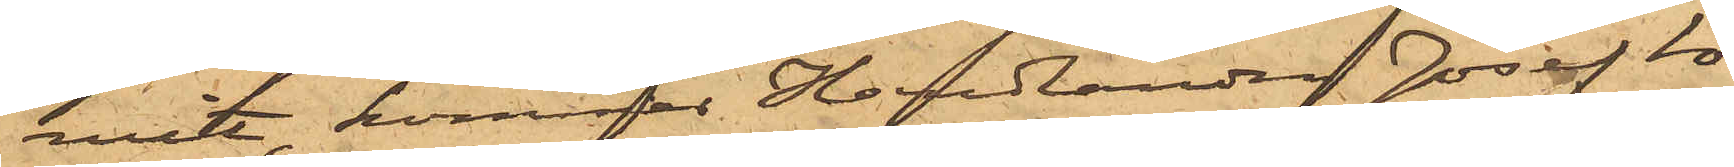mit, kommer Handlanden Josef So¬
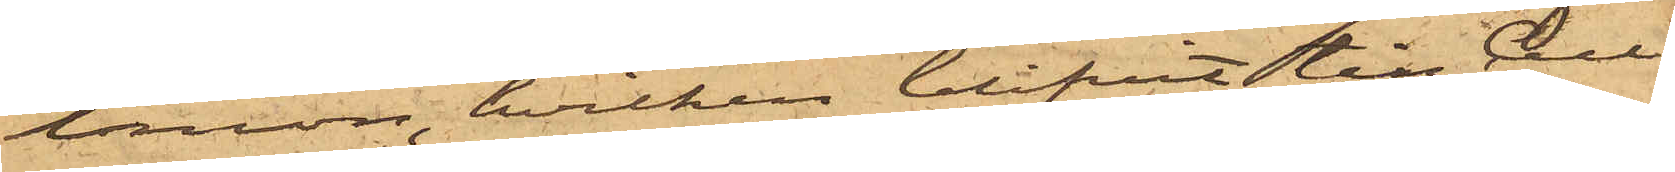lomon, hvilken blifvit till Cell¬
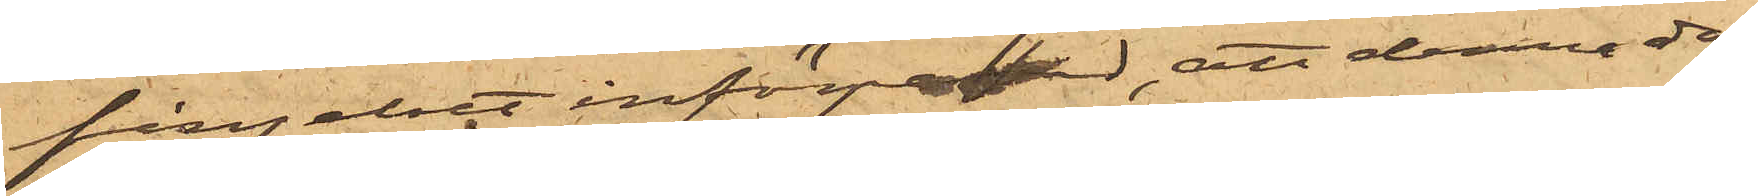fängelset införpassad, att denna dag
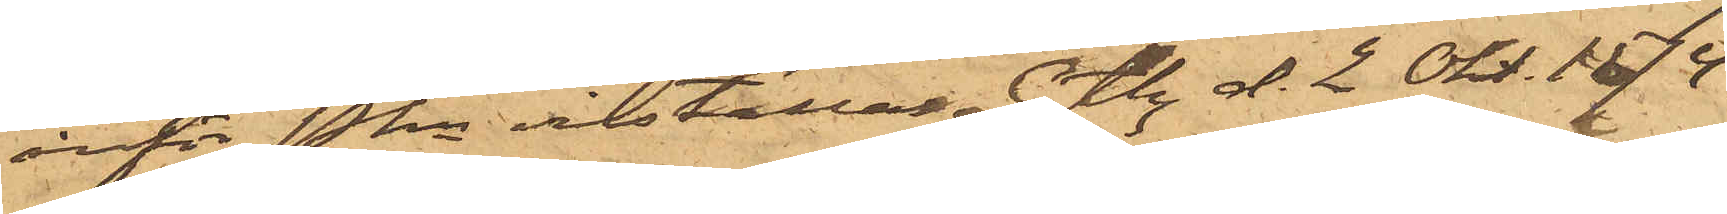inför Pkn inställas. Gtbg d. 2 Okt. 1874.
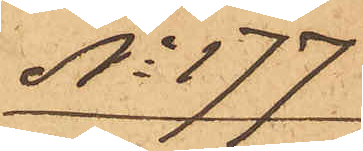No 177
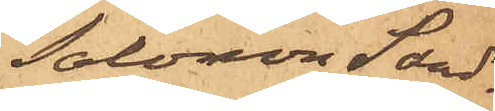Salomon Sand¬
